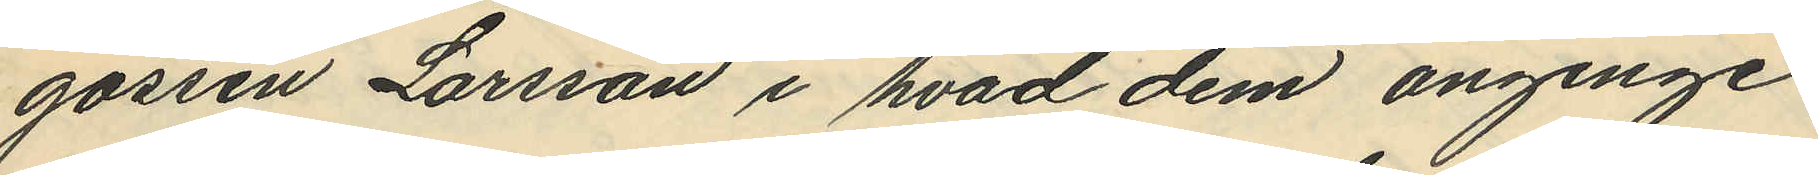gossen Larsson i hvad dem anginge
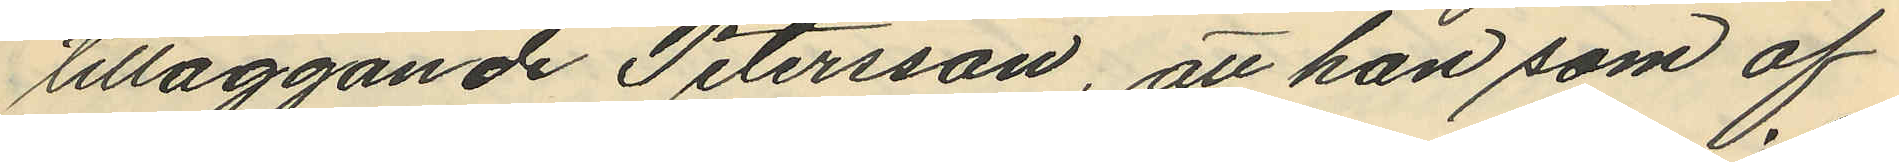tilläggande Petersson, att han som af
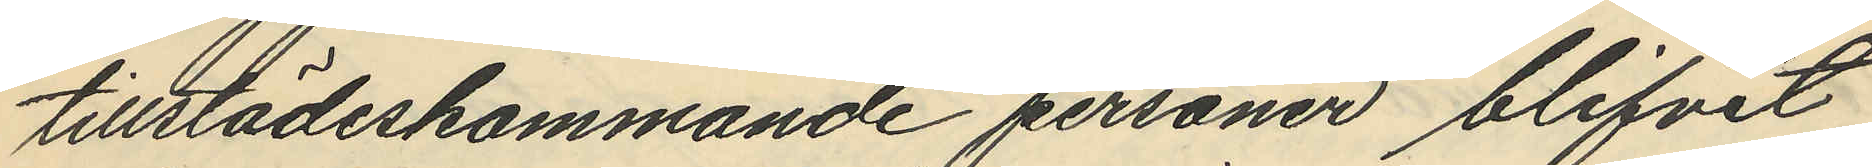tillstädeskommande personer blifvit
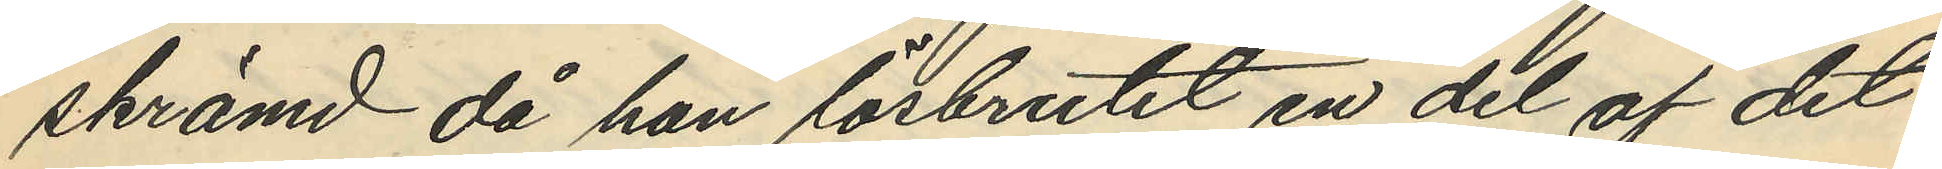skrämd då han lösbrutit en del af det
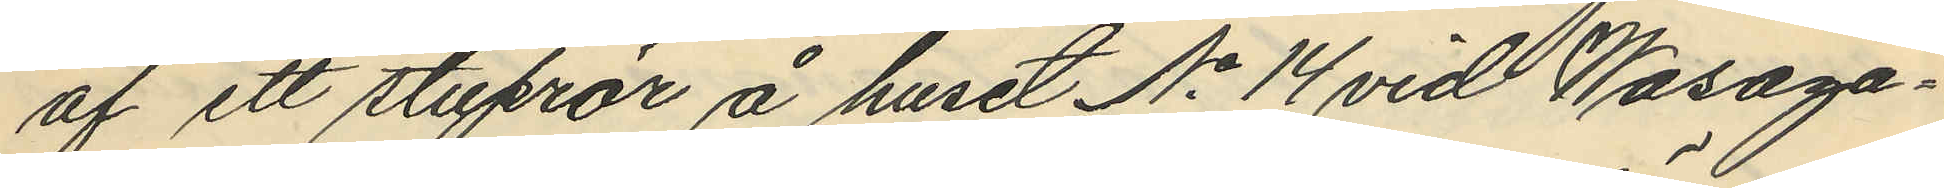af ett stuprör å huset No 14 vid Wasaga¬
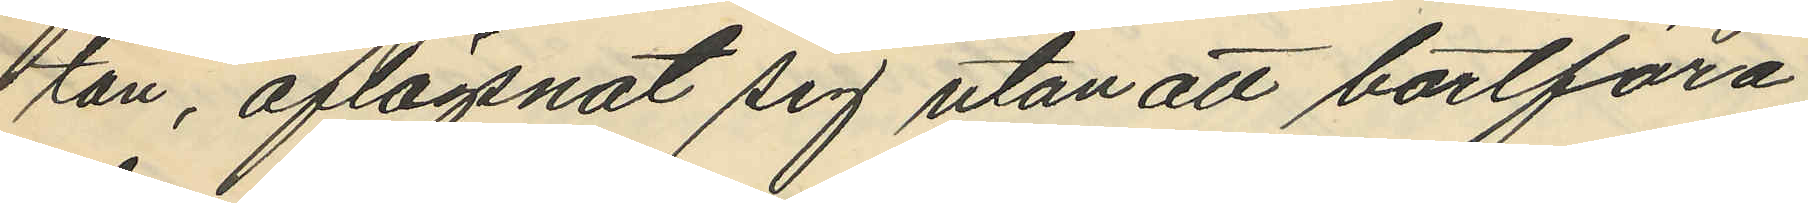tan, aflägsnat sig utan att bortföra
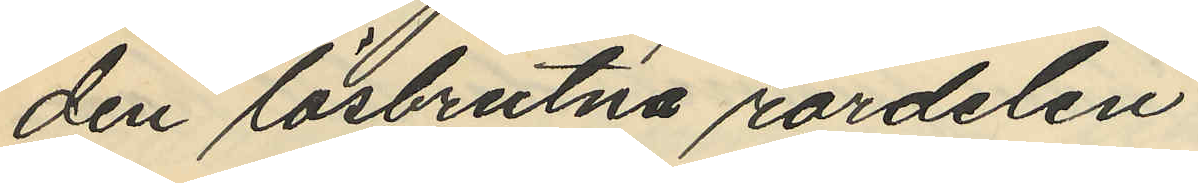den lösbrutna rördelen.
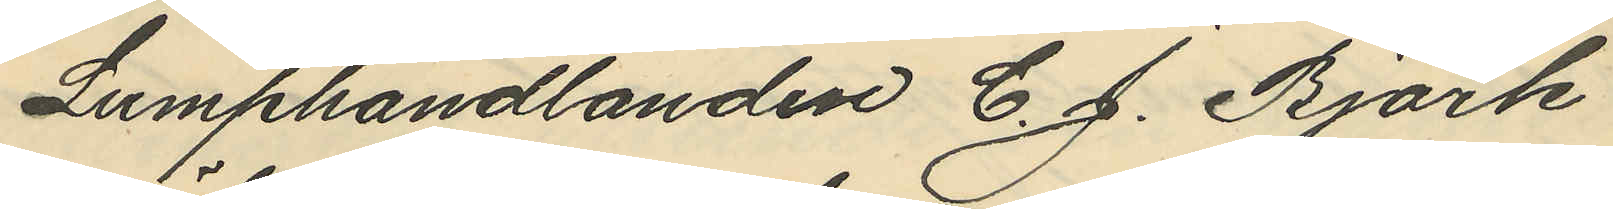Lumphandlanden C. J. Björk
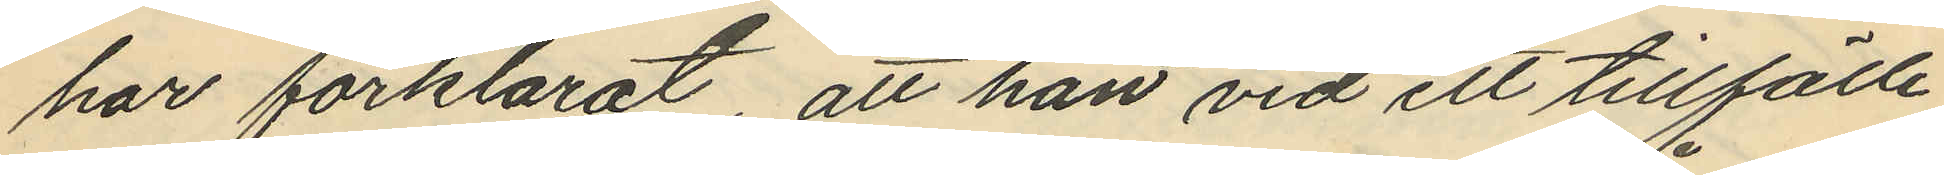har förklarat, att han vid ett tillfälle
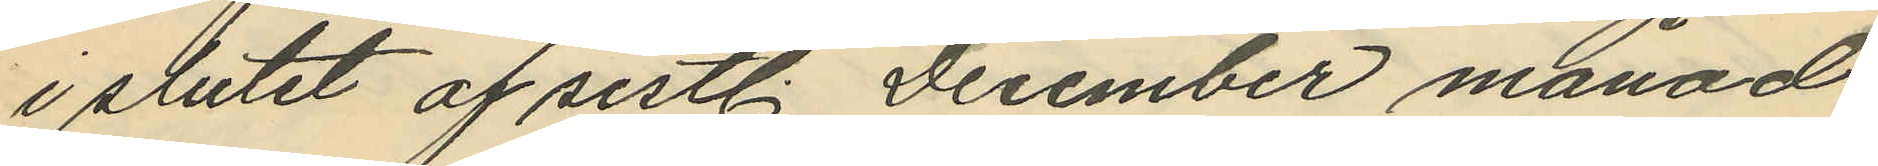i slutet af sistl. December månad
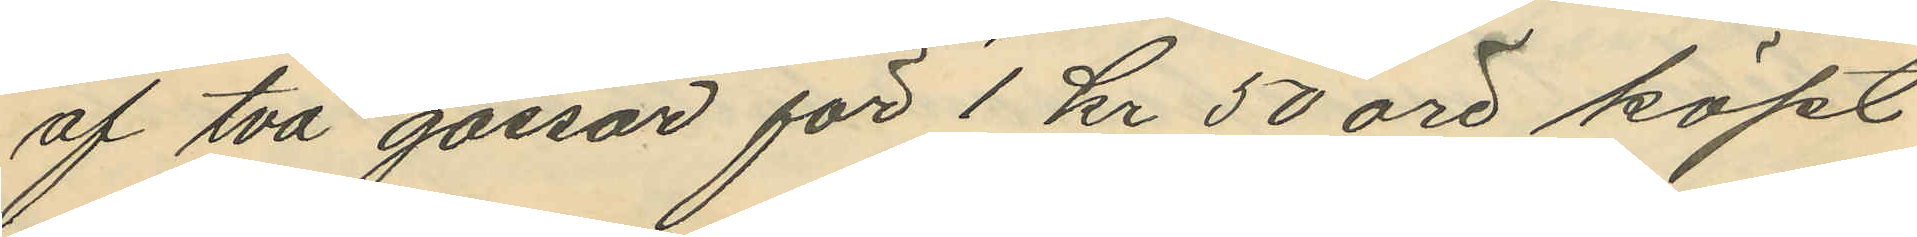af två gossar för 1 kr 50 öre köpt
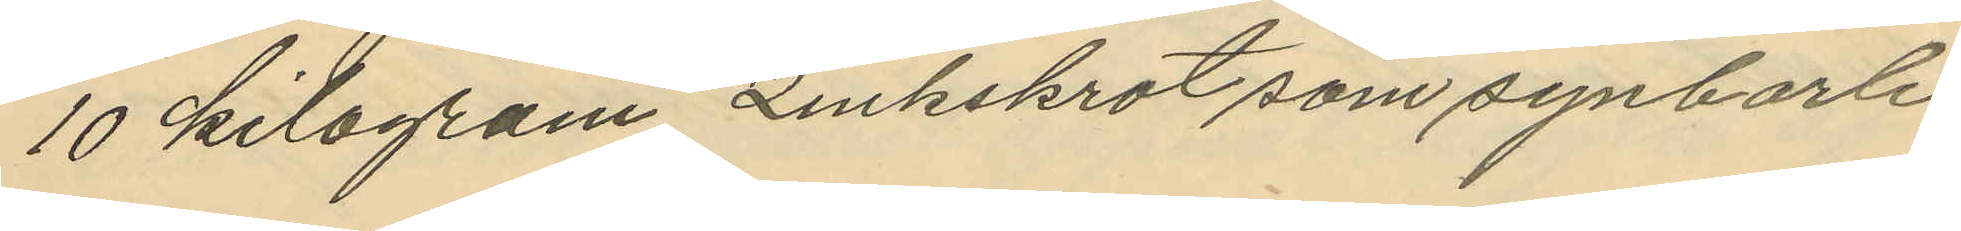10 kilogram zinkskrot som synbarli¬
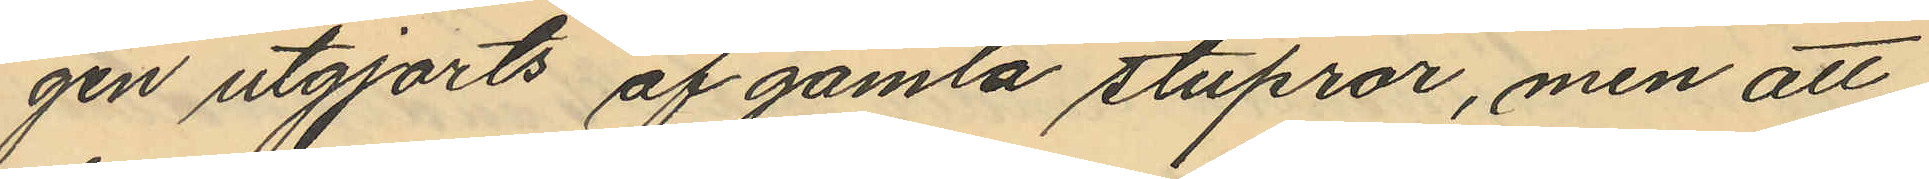gen utgjorts af gamla stuprör, men att
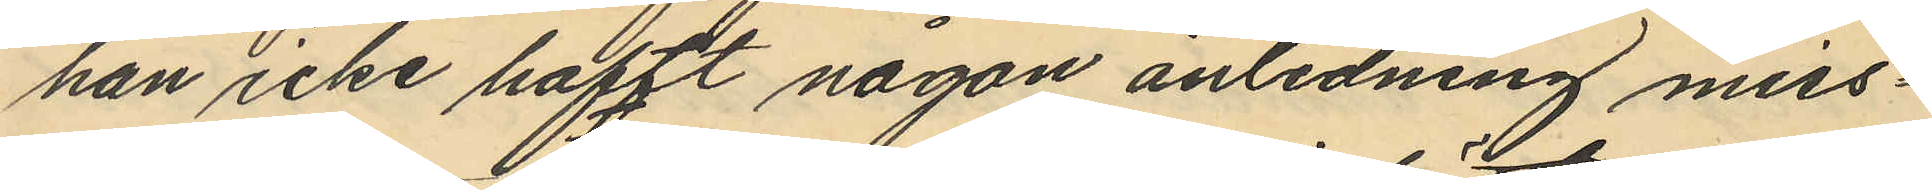han icke haft någon anledning miss¬
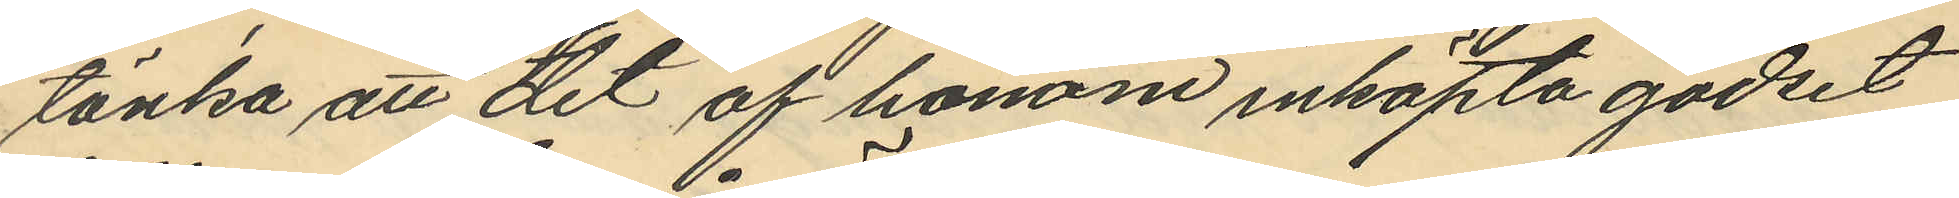tänka att det af honom inköpta godset
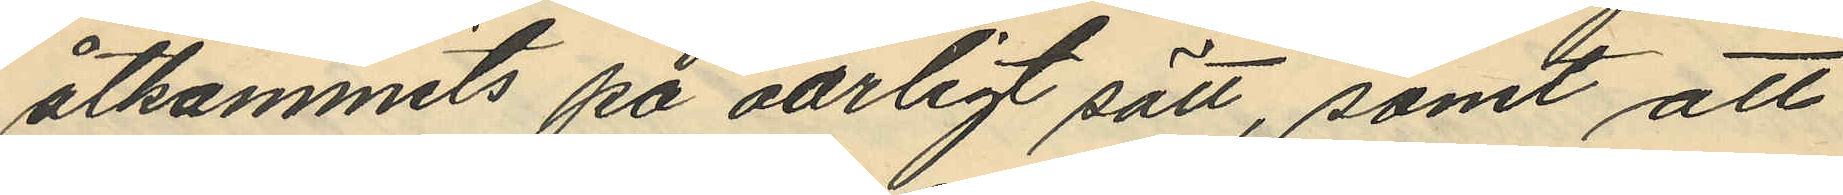åtkommits på oärligt sätt, samt att
